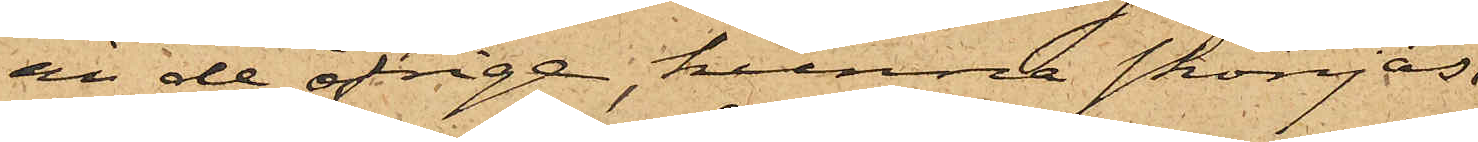än de öfriga, kunna skönjas
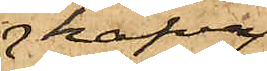hafva
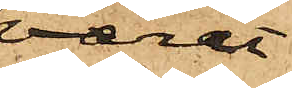varit
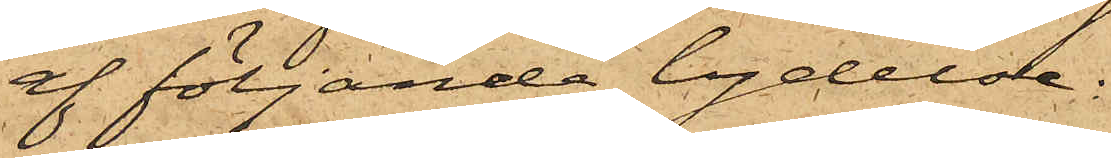af följande lydelse;
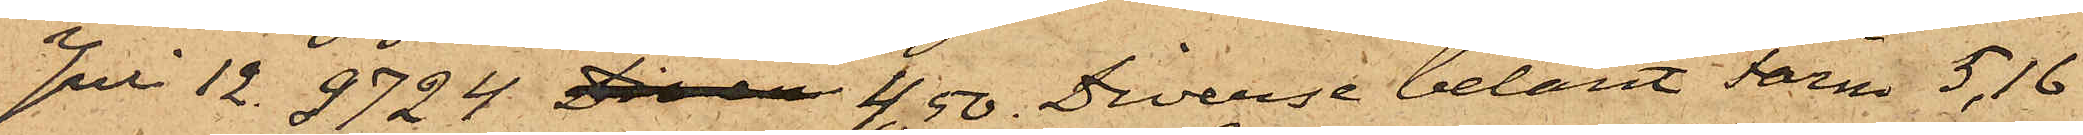Juli 12.  9724 Diver 4,50. Diverse belånt Färm 5,16
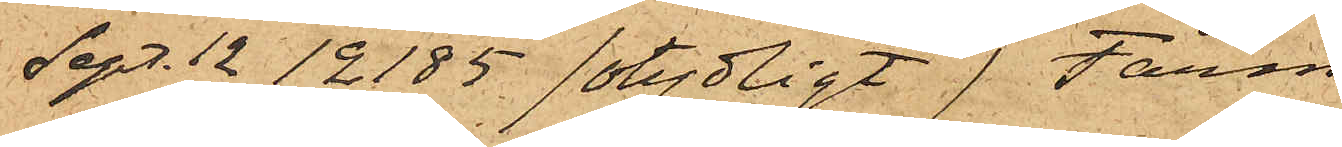Sept. 12  12185 /otydligt/ Färm
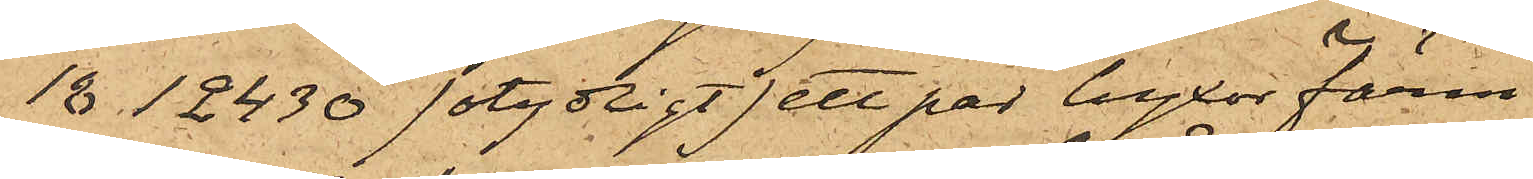18 12430 /otydligt/ ett par byxor Färm
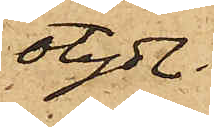otydl.
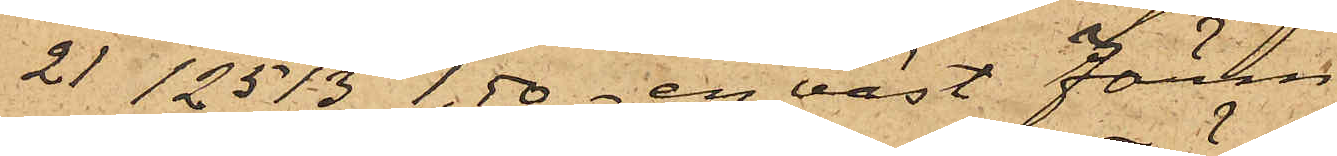21 12513 1,50 - en väst Färm
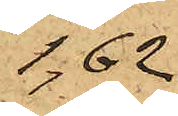1,62
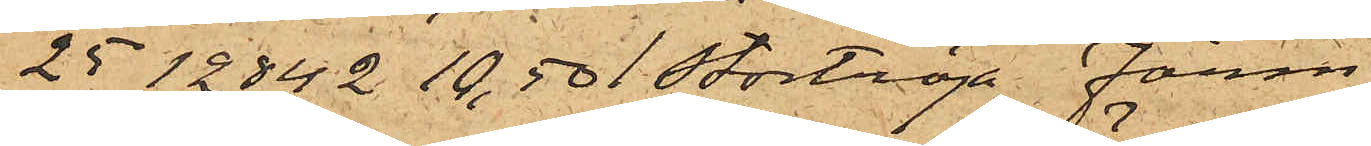25 12842 10,50 Stortröja Färm
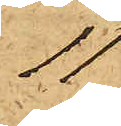11
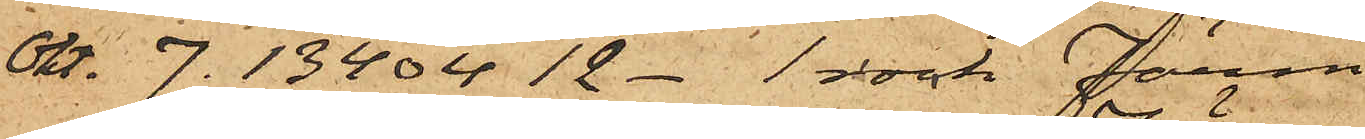Okt. 7. 13404 12 - 1 rock Färm
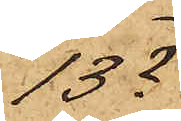13?
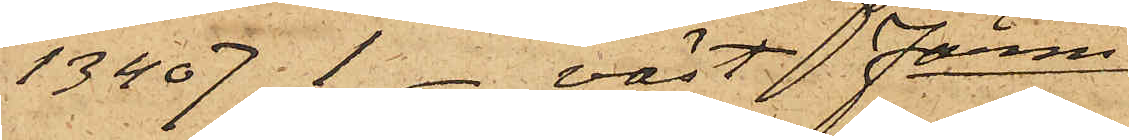13407 1 - väst Färm
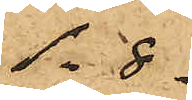1.8.
